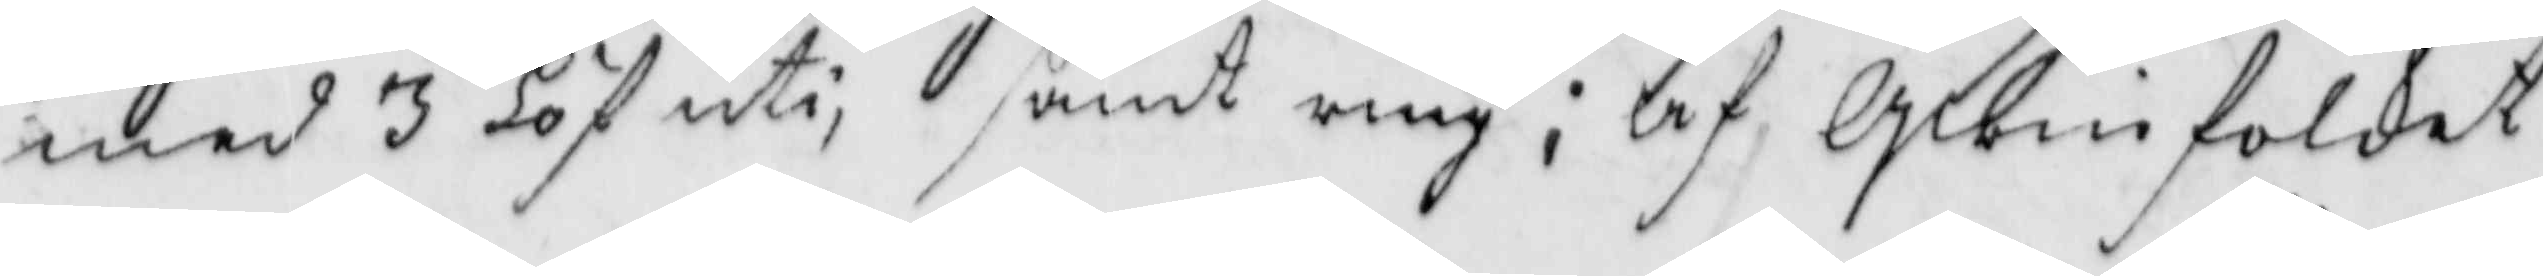med 3 löf uti samt ring; af Qwinfolket
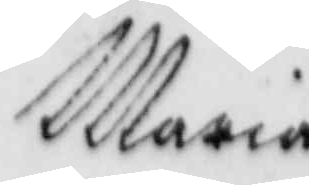Maria
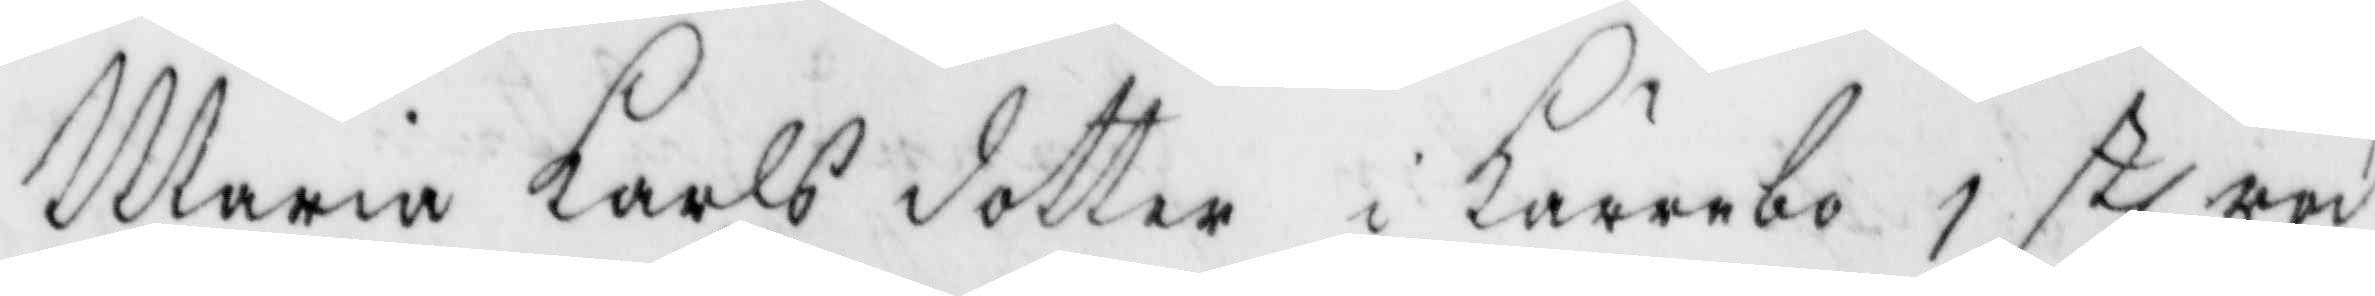Maria karlsdotter i kärrebo 1 stl röd
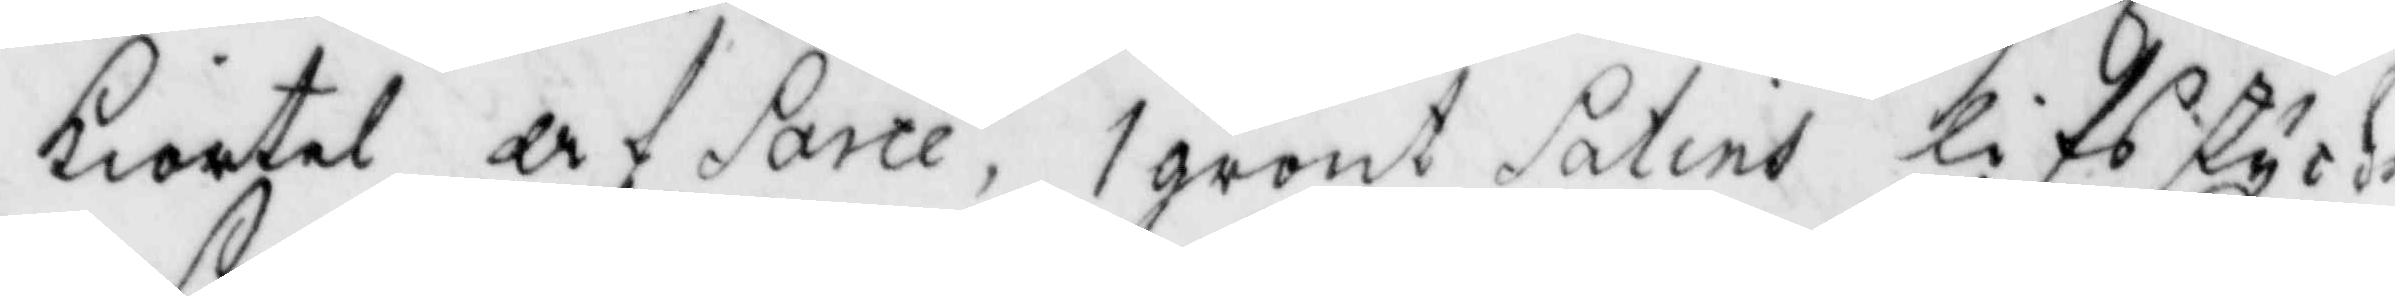kiortel af Sarte, 1 grönt Satins lifsstycke
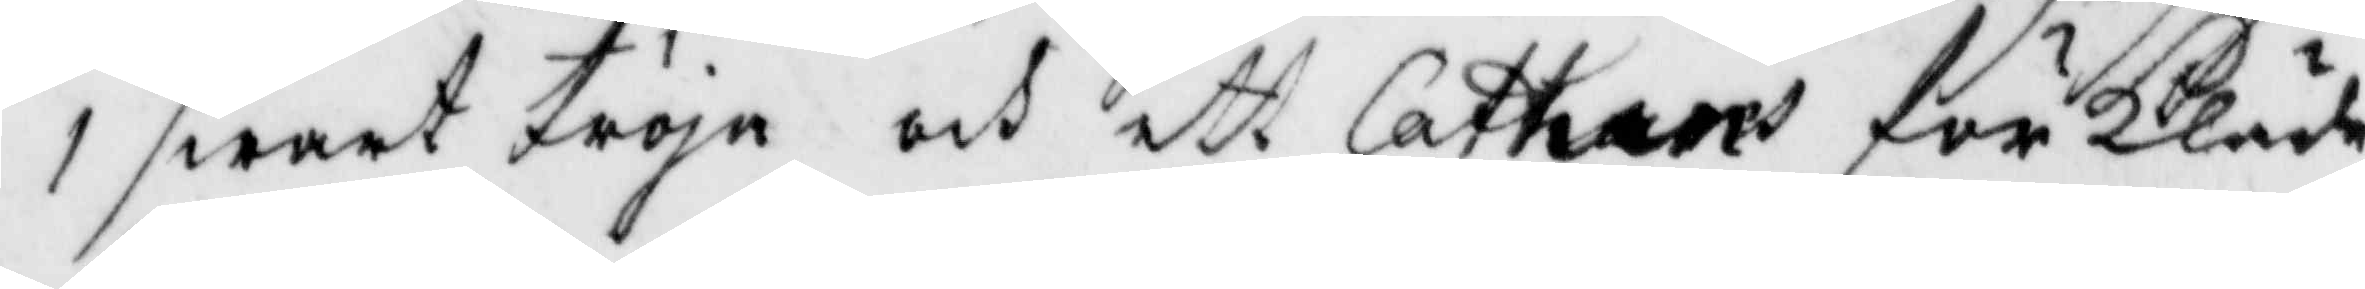1 swart tröja och ett Cathun förkläde
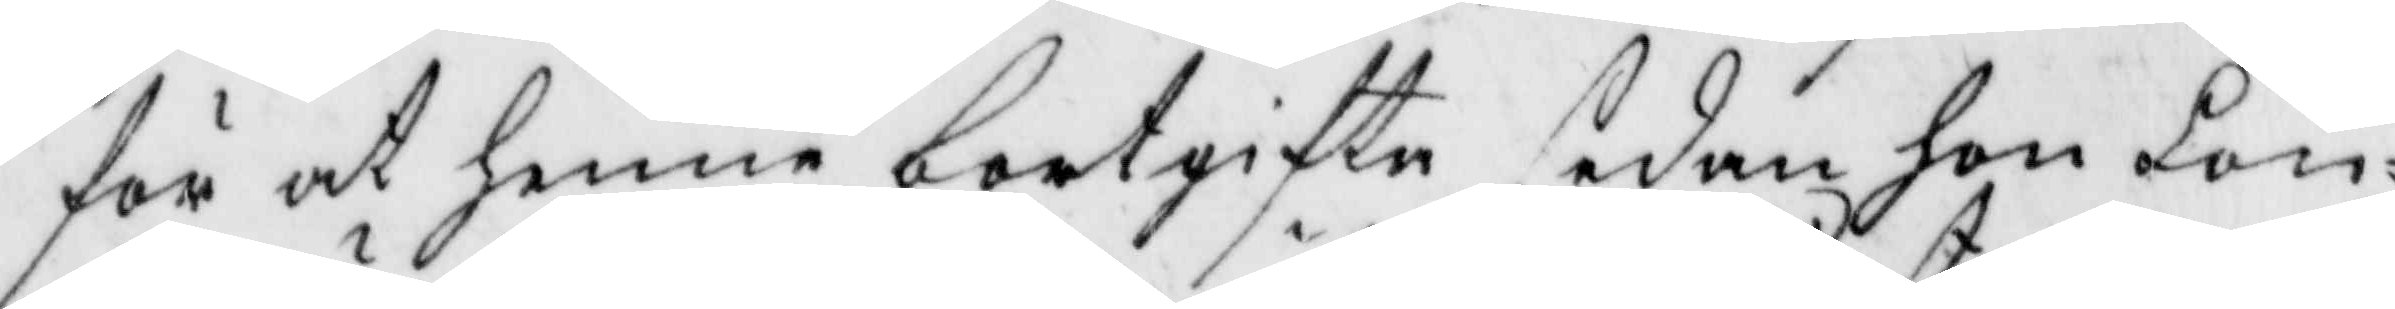för at henne bortgifte sedan hon lön¬
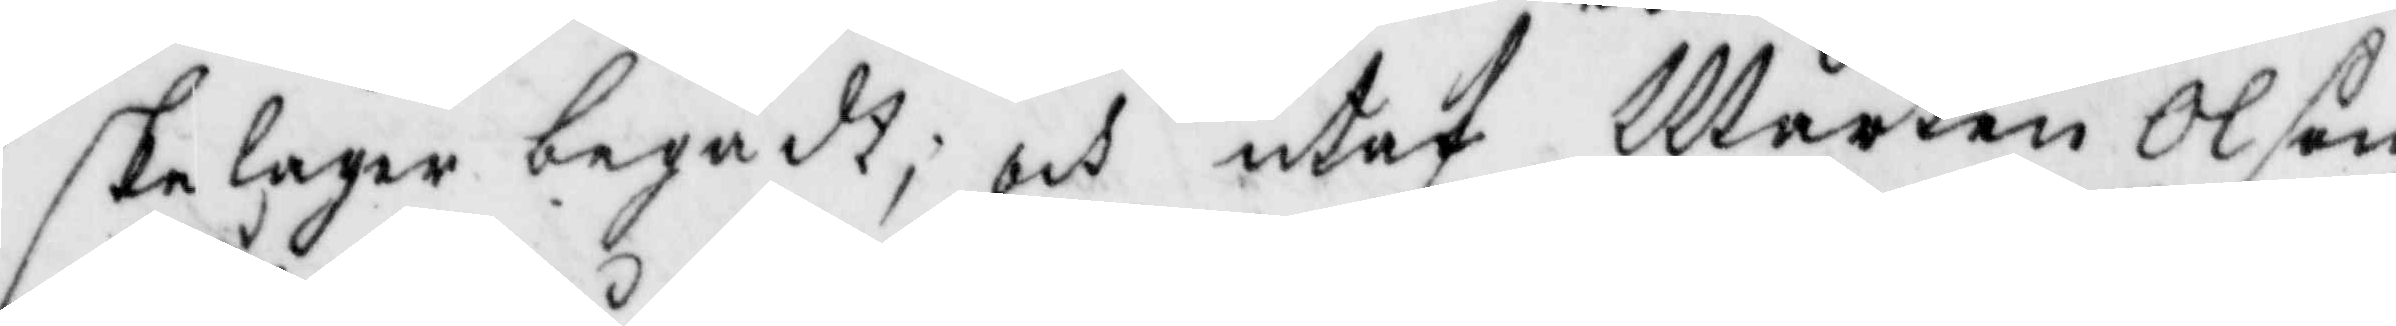skeläger begådt; och utaf Mårten Olsson
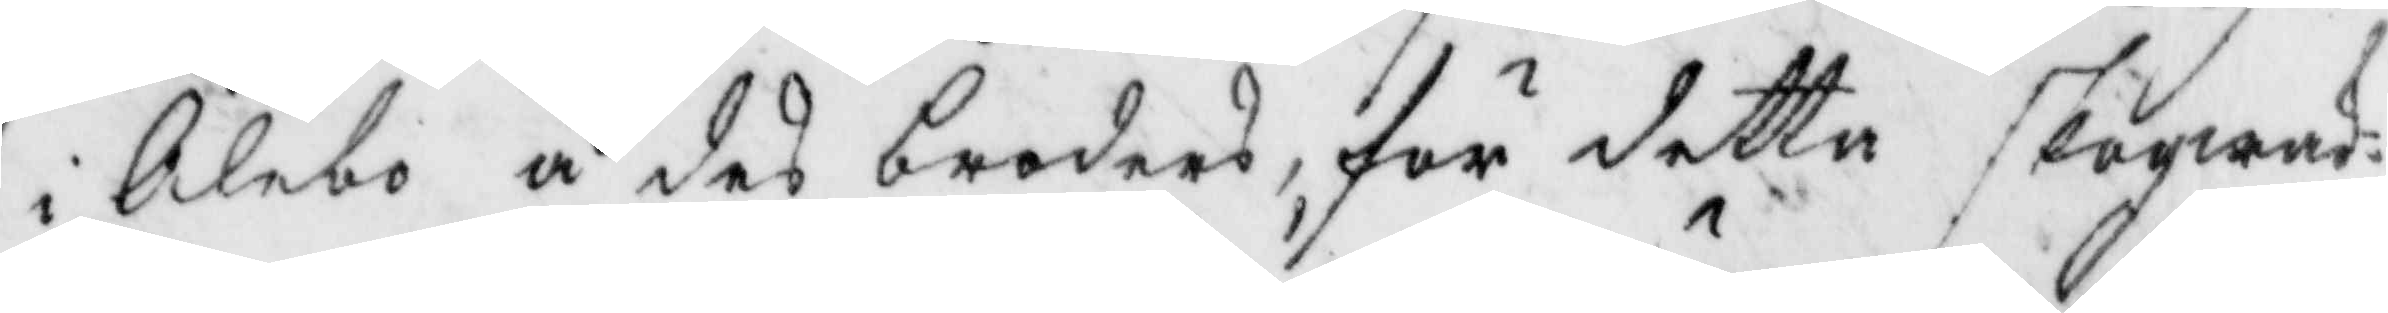i Ålebo å des broders, för detta skogwak¬
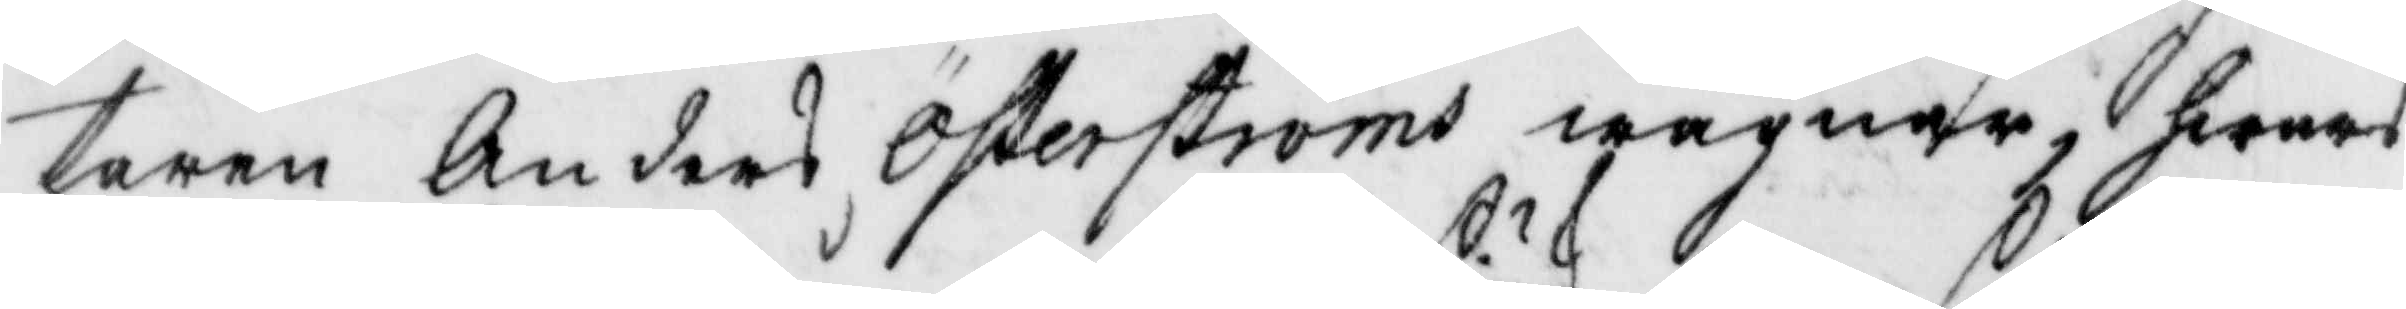taren Anders Österströms wägnar, hwars
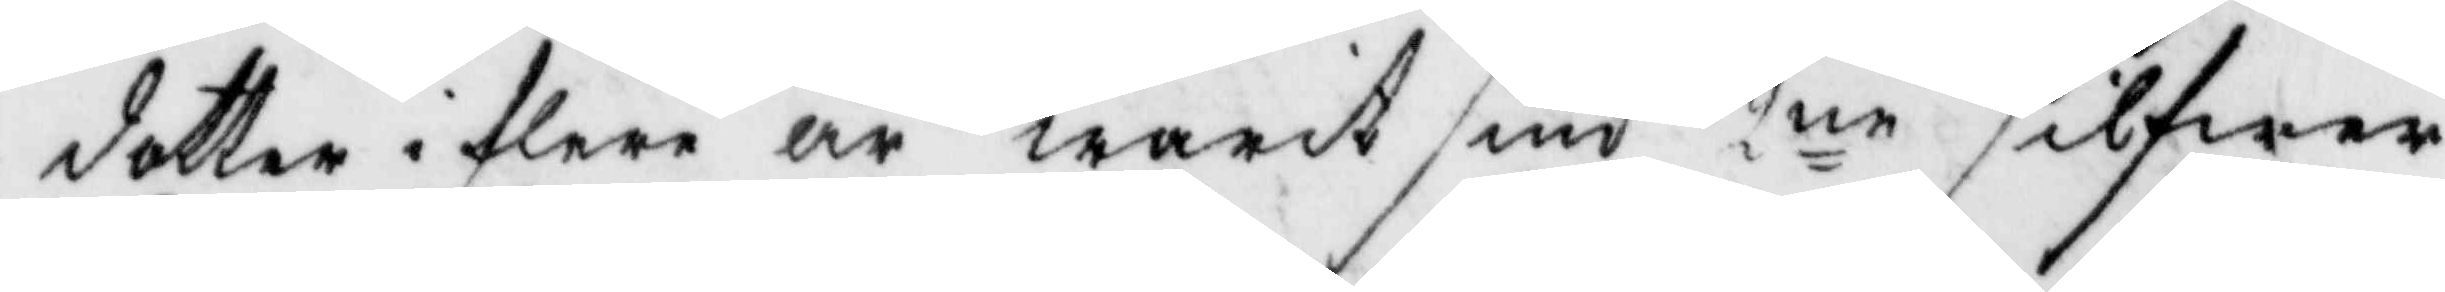dotter i flera år warit siuk 2ne silfwer¬
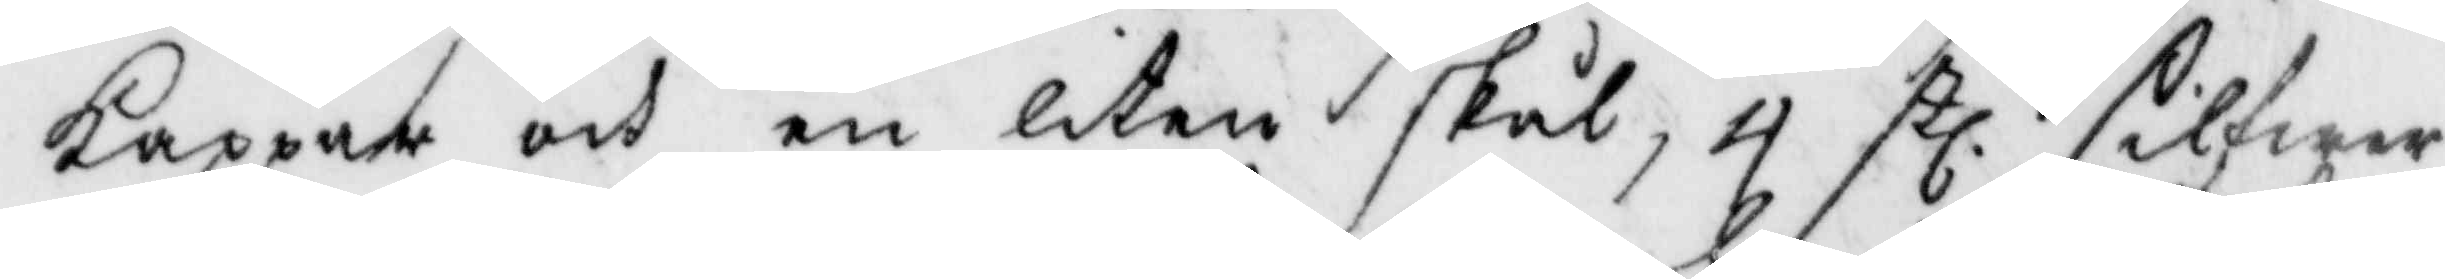kappar och en liten skål, 4 stl, silfwer¬
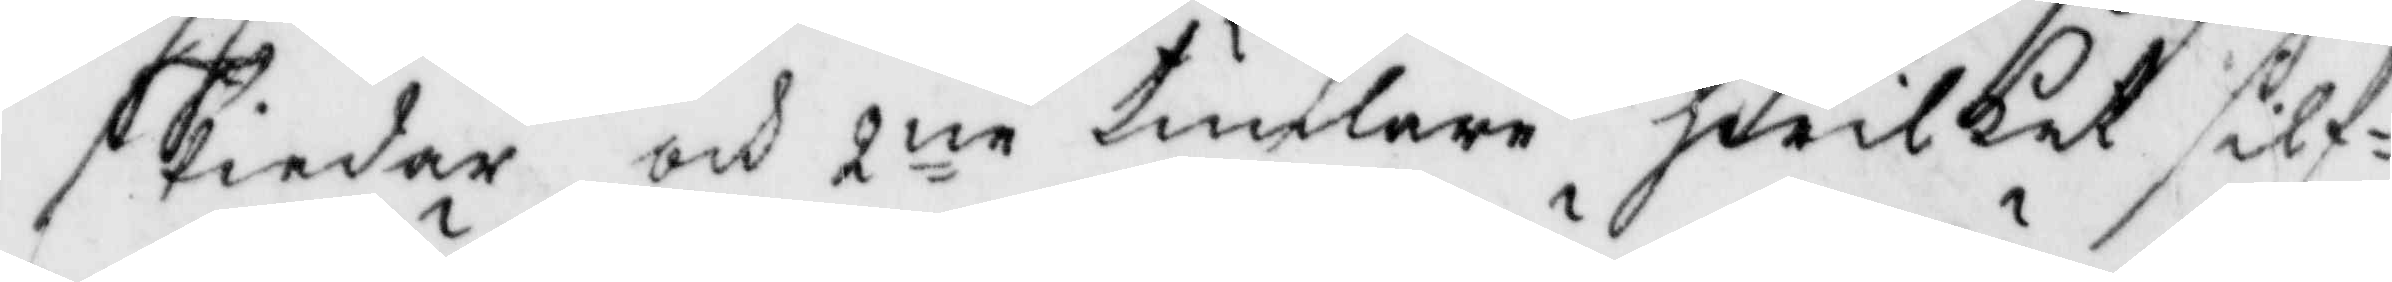skiedar och 2ne tumlare hwilket silf¬
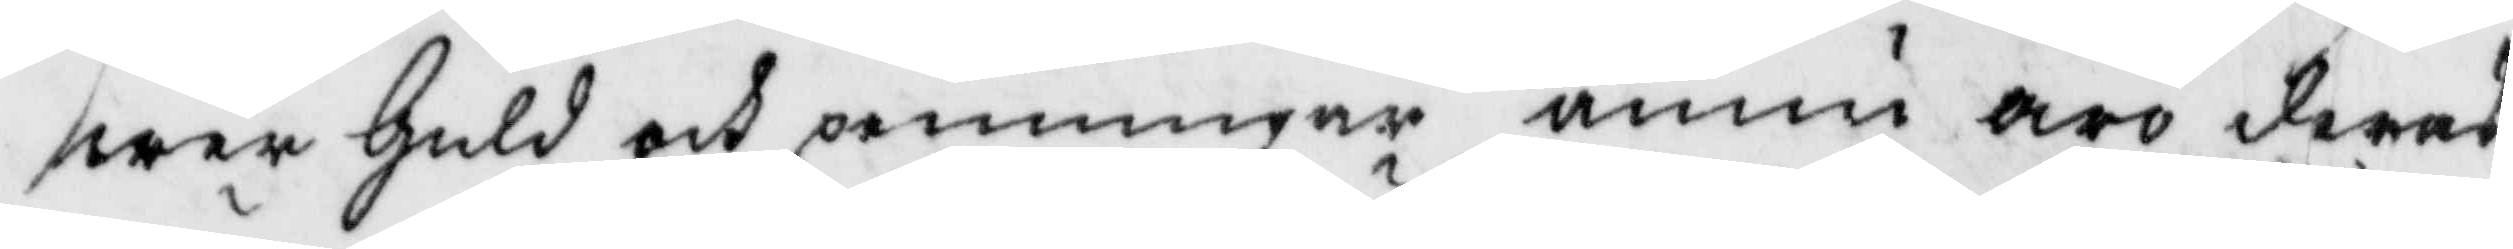wer Guld och penningar ännu äro deras 
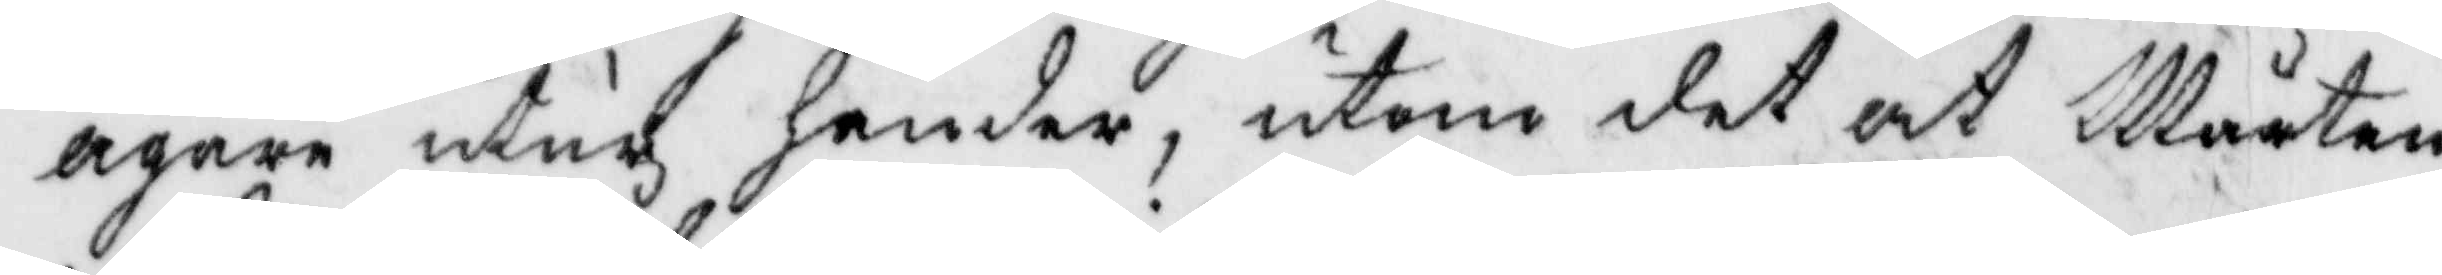ägare utur händerm utom det at Mårten
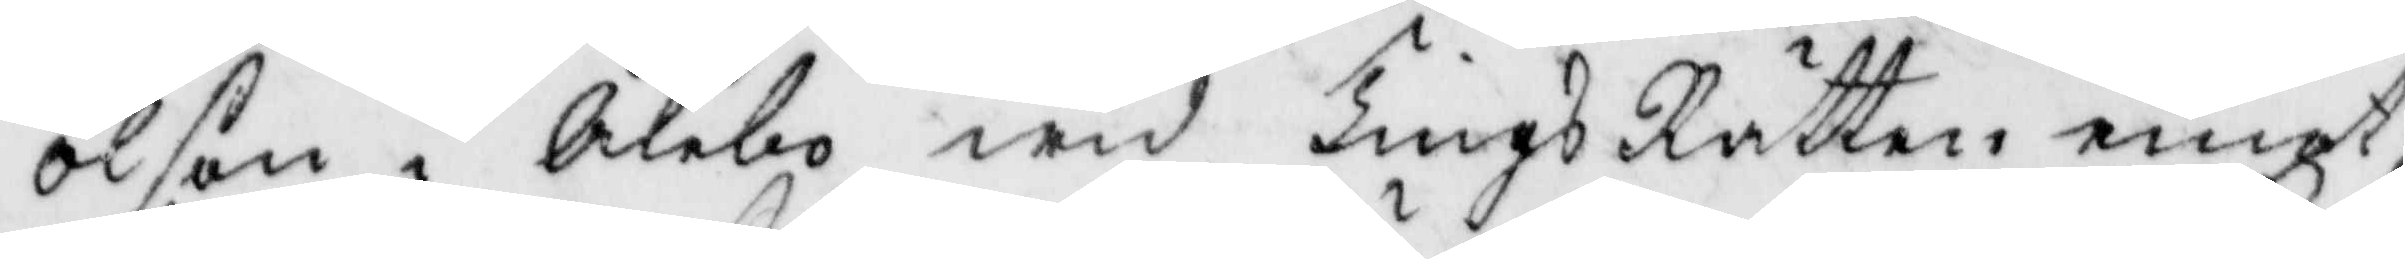Olson i Ålebo wid TingsRätten emot¬
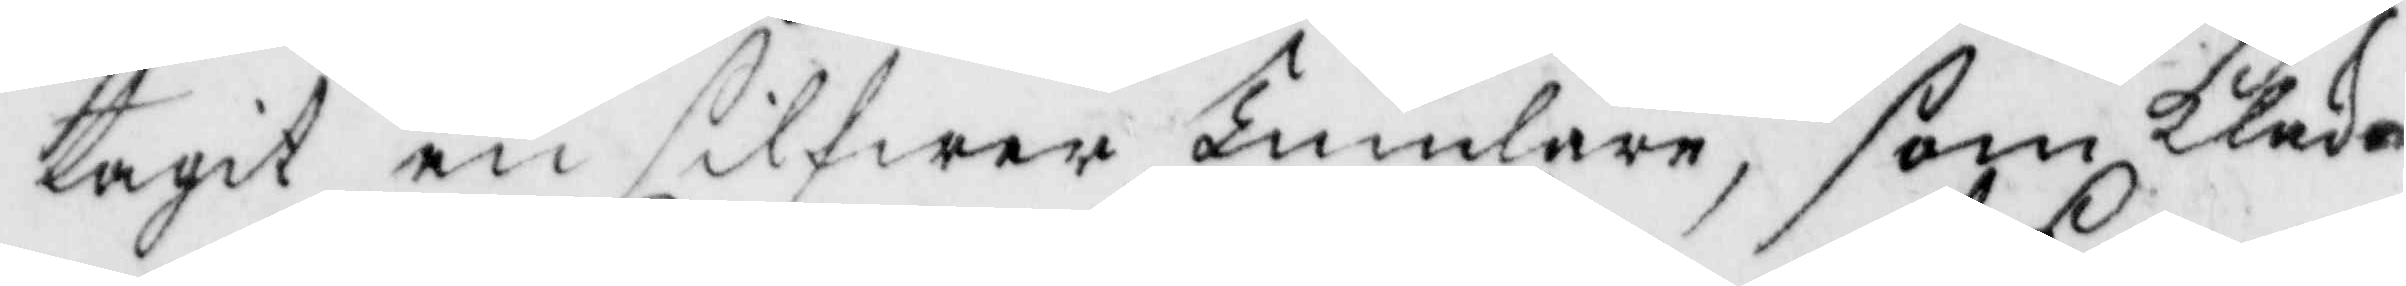tagit en silfwer Tumlare, som kloka¬
